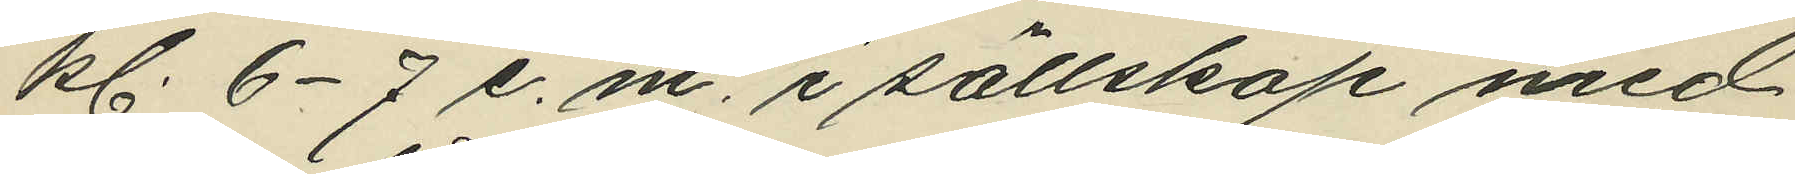kl. 6-7 e. m. i sällskap med
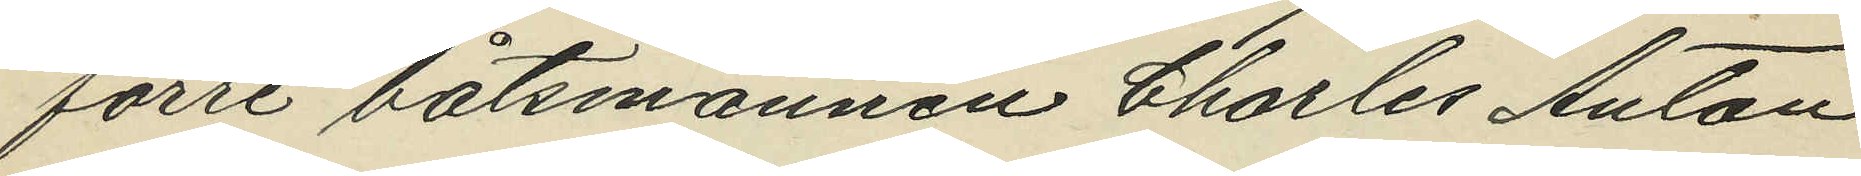förre båtsmannen Charles Anton
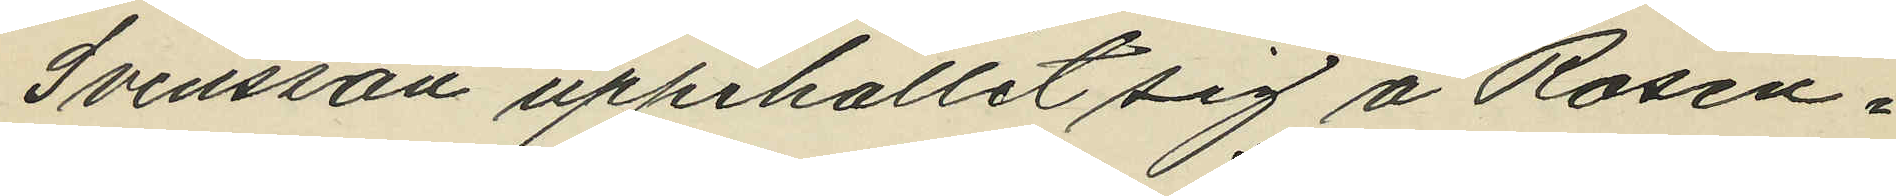Svensson uppehållit sig å Rosen¬
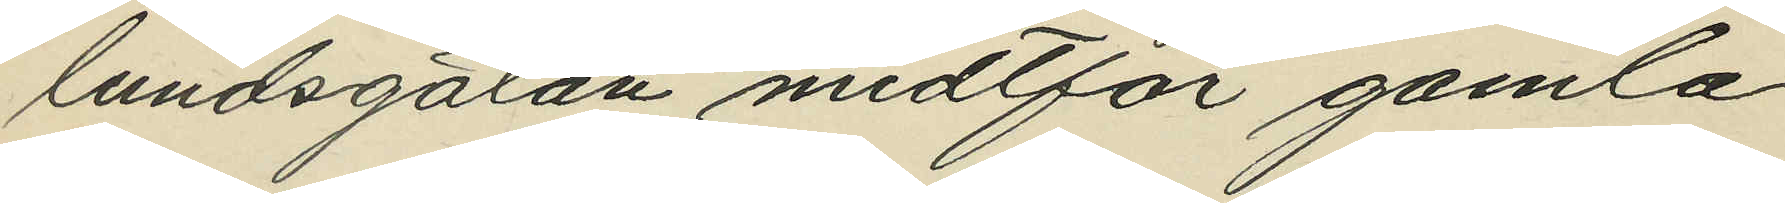lundsgatan midtför gamla
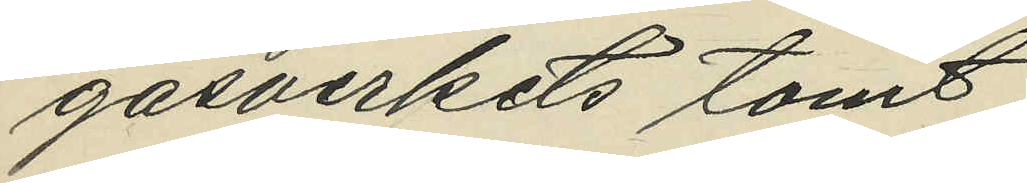gasverkets tomt;
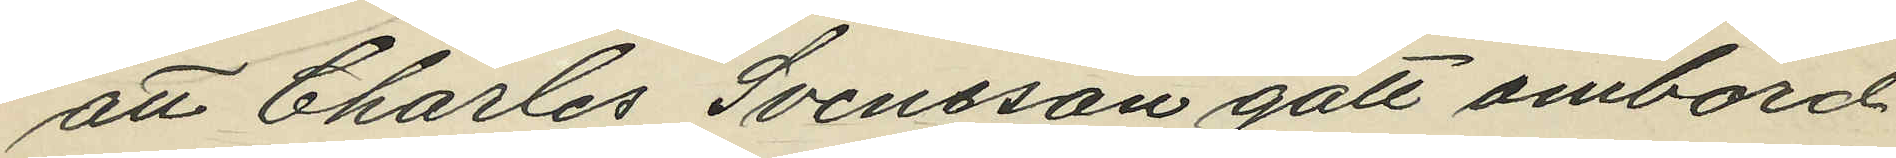att Charles Svensson gått ombord
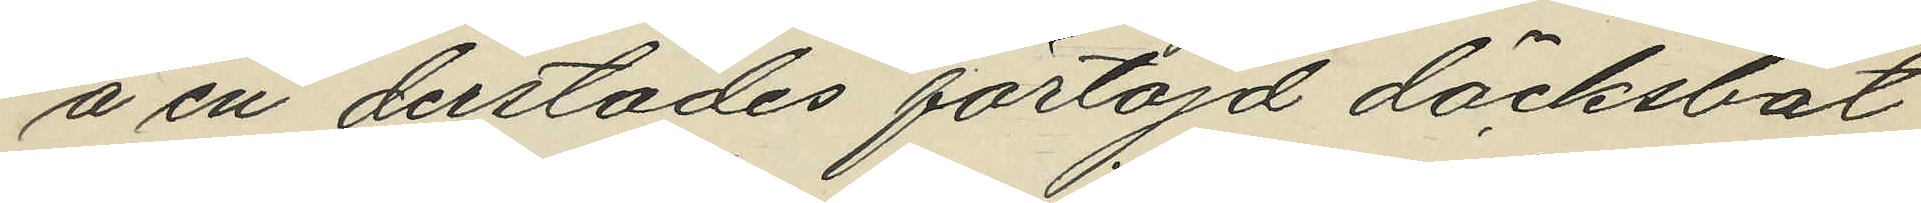å en derstädes förtöjd däcksbåt
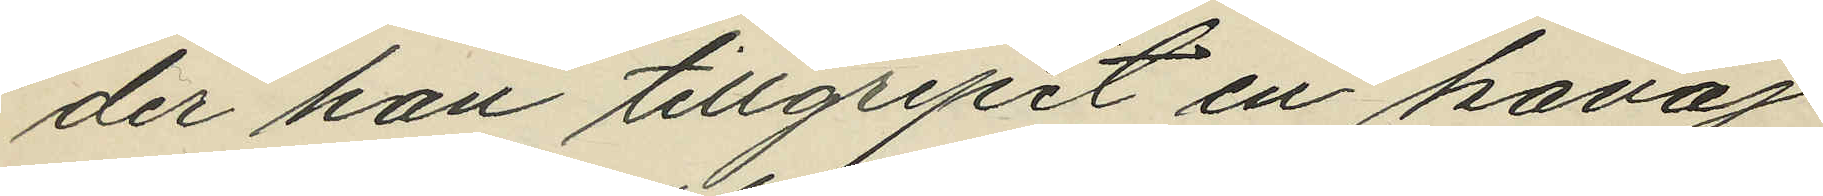der han tillgripit en kavaj
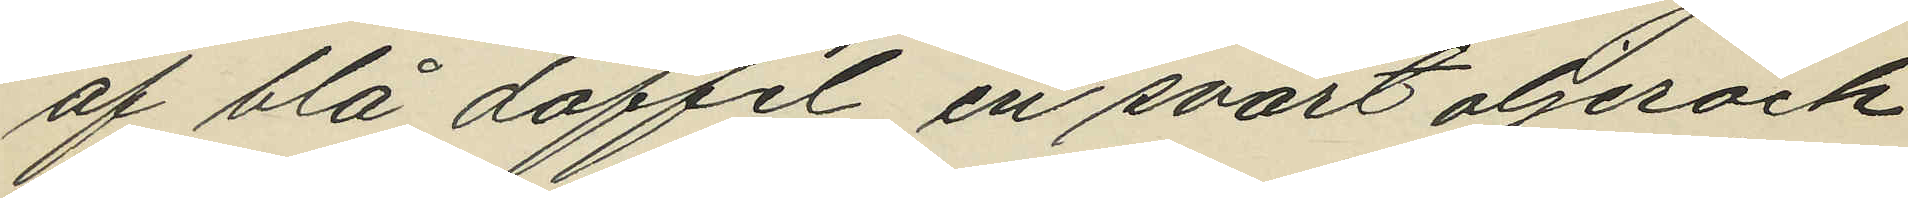af blå doffel, en svart oljerock
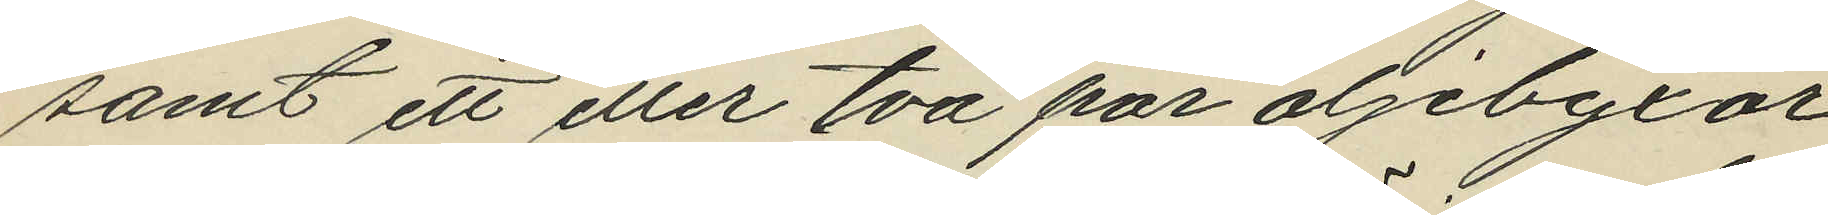samt ett eller två par oljebyxor
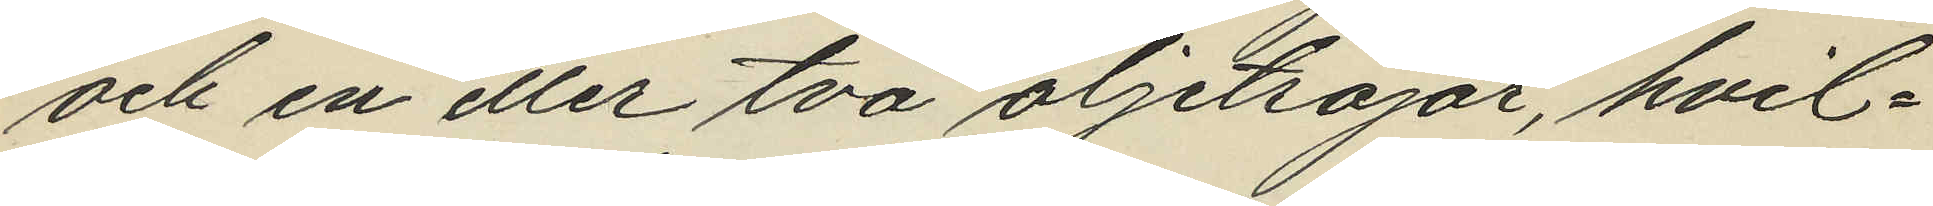och en eller två oljetröjor, hvil¬
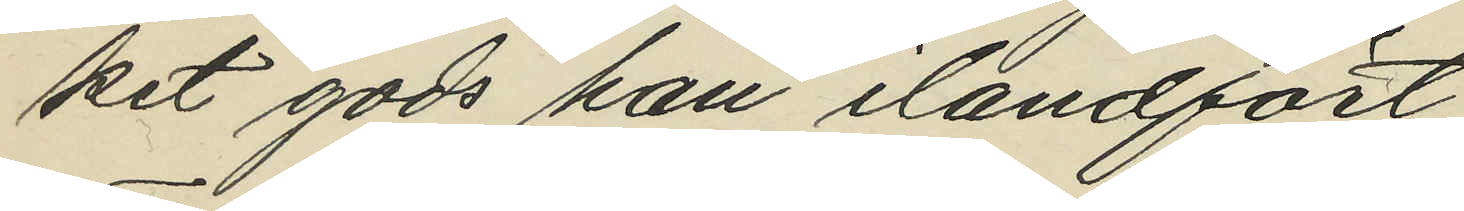ket gods han ilandfört;
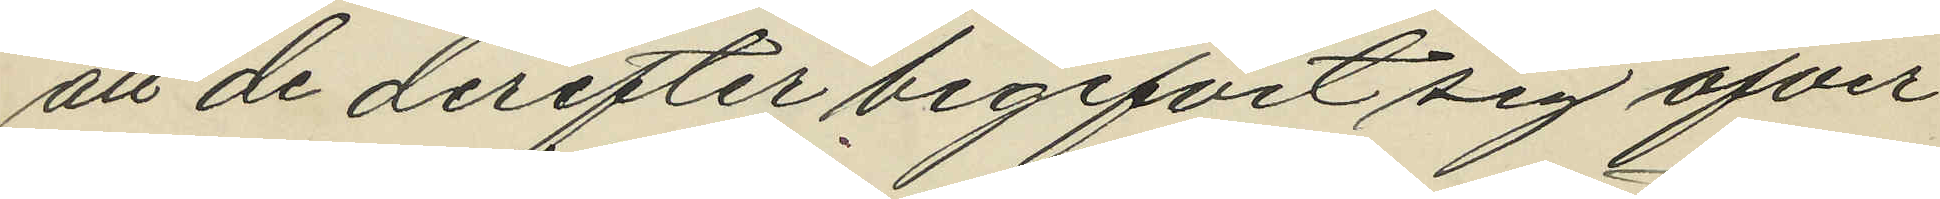att de derefter begifvit sig öfver
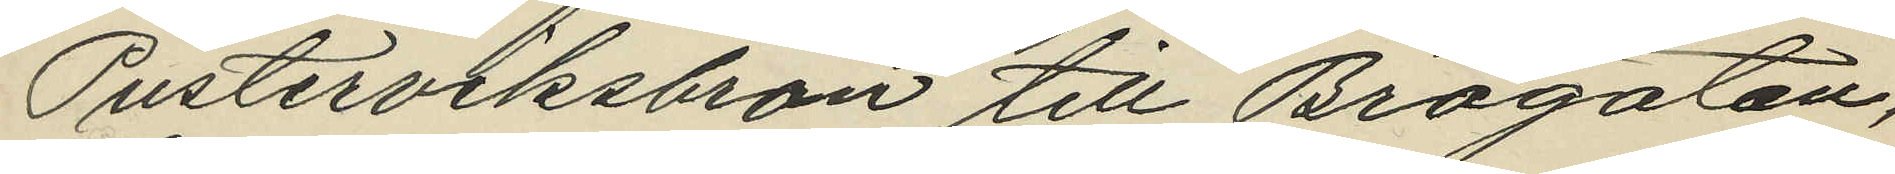Pusterviksbron till Brogatan,
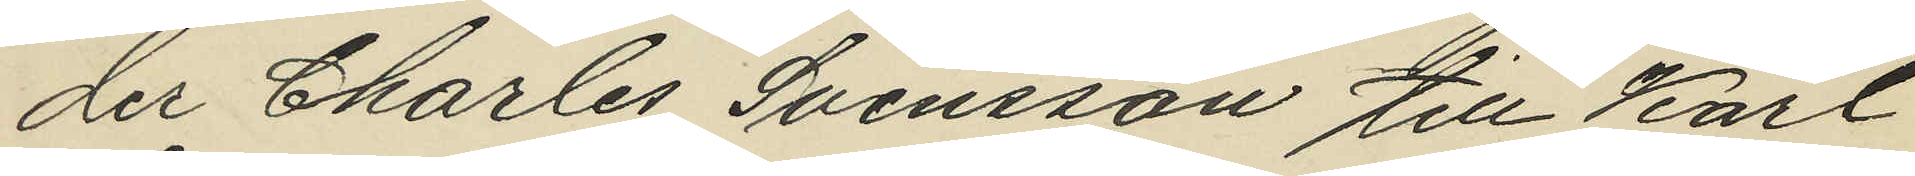der Charles Svensson till Karl
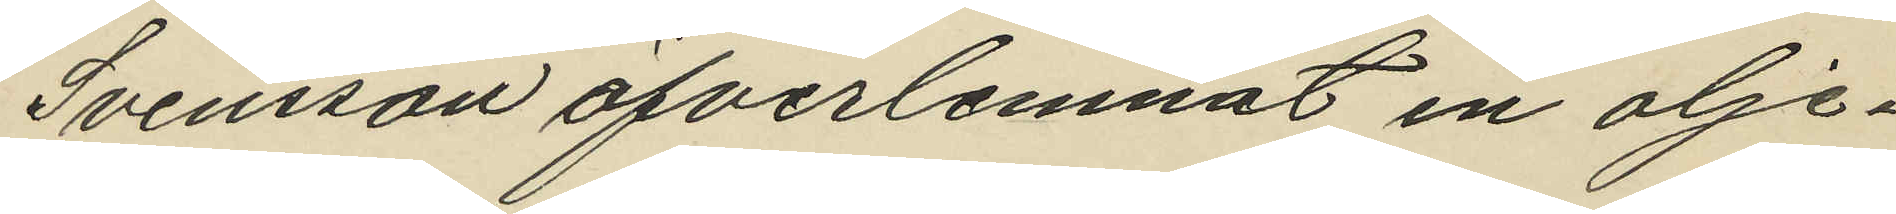Svensson öfverlemnat en olje¬
